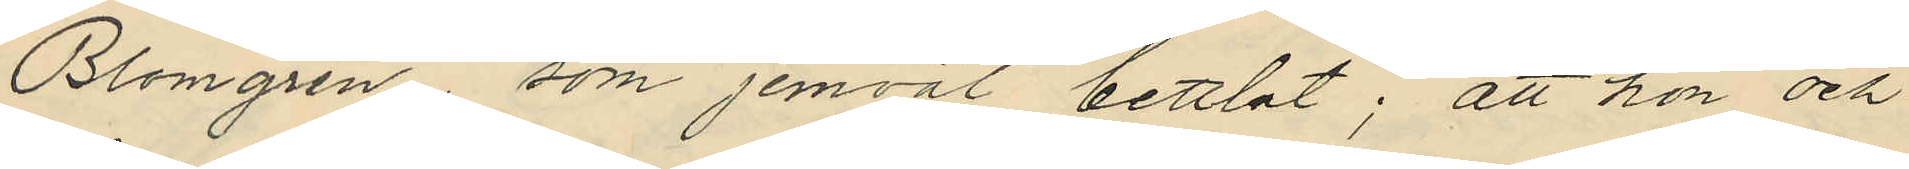Blomgren som jemväl bettlat; att hon och
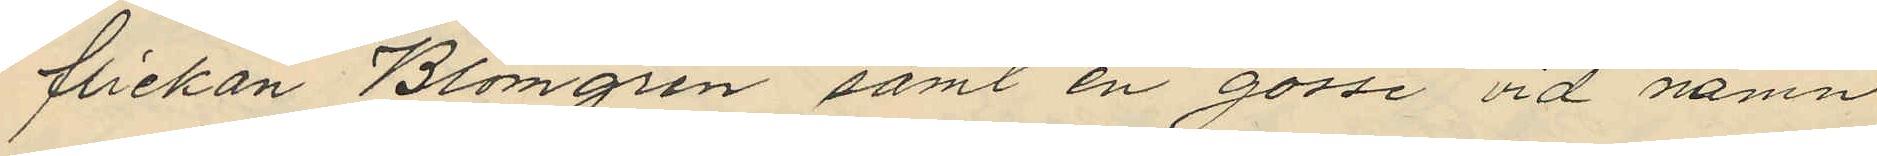flickan Blomgren samt en gosse vid namn
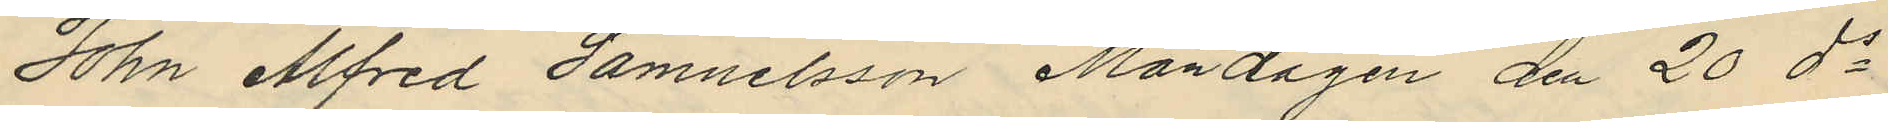John Alfred Samuelsson Måndagen den 20 ds
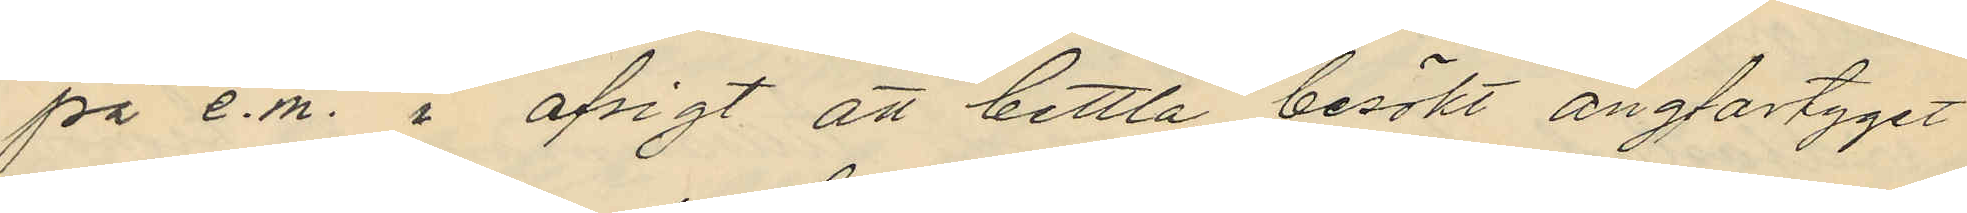på e.m. i afsigt att bettla besökt ångfartyget
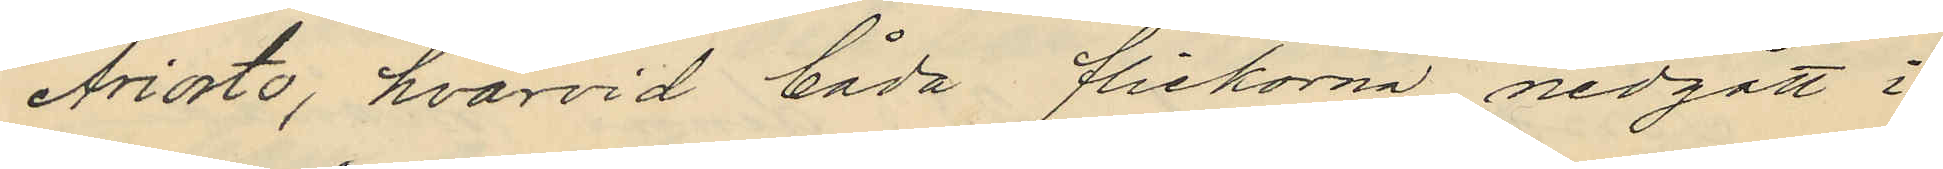Ariosto, hvarvid båda flickorna nedgått i
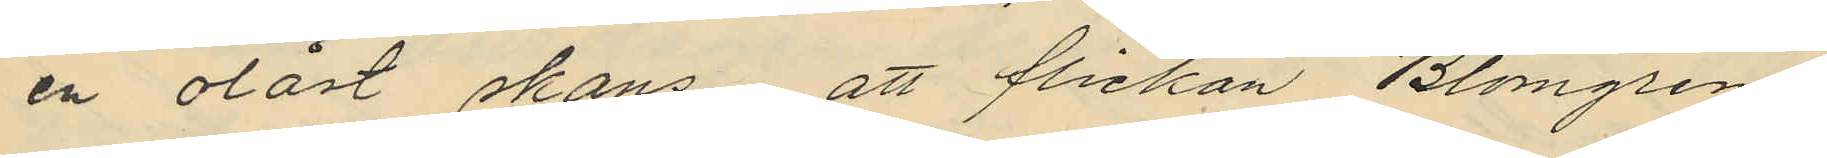en olåst skans att flickan Blomgren
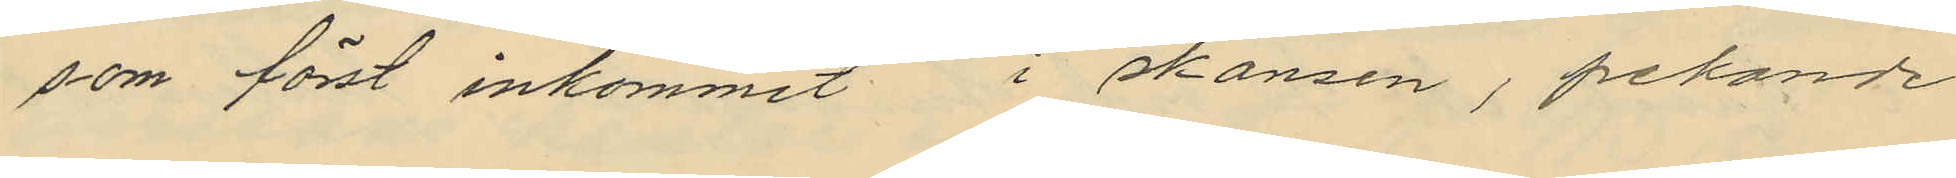som först inkommit i skansen, pekande
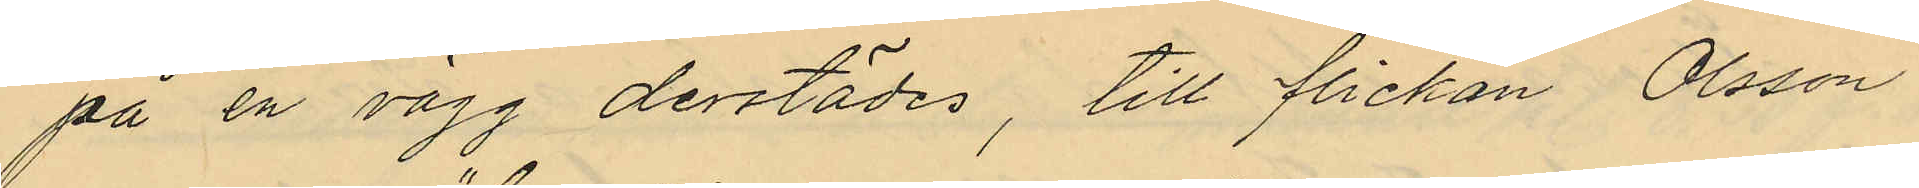på en vägg derstädes, till flickan Olsson
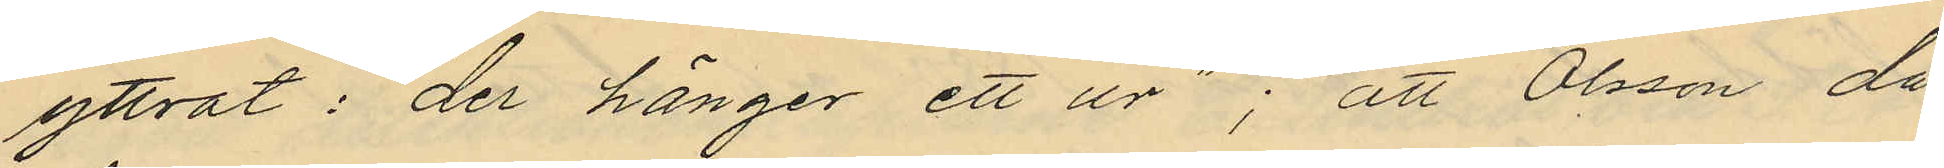yttrat: "der hänger ett ur"; att Olsson då
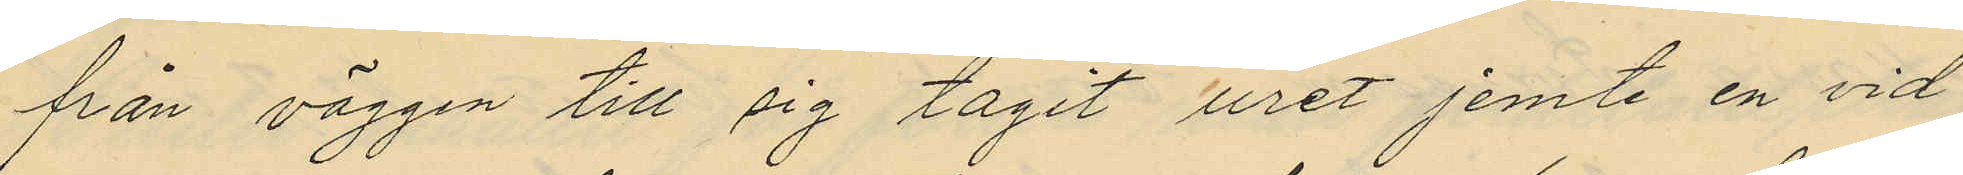från väggen till sig tagit uret jemte en vid
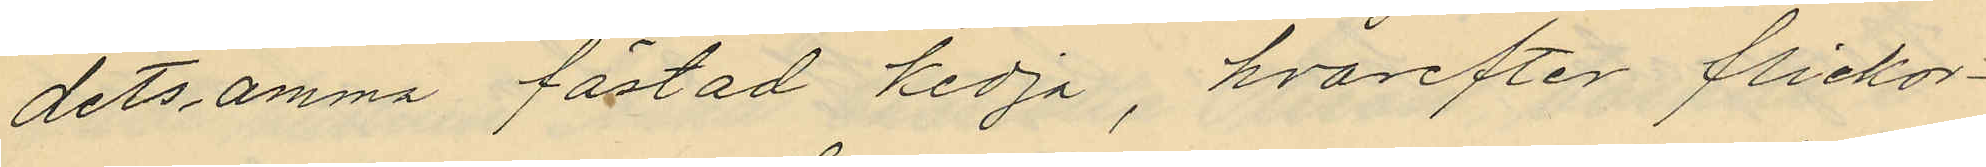detsamma fästad kedja, hvarefter flickor¬
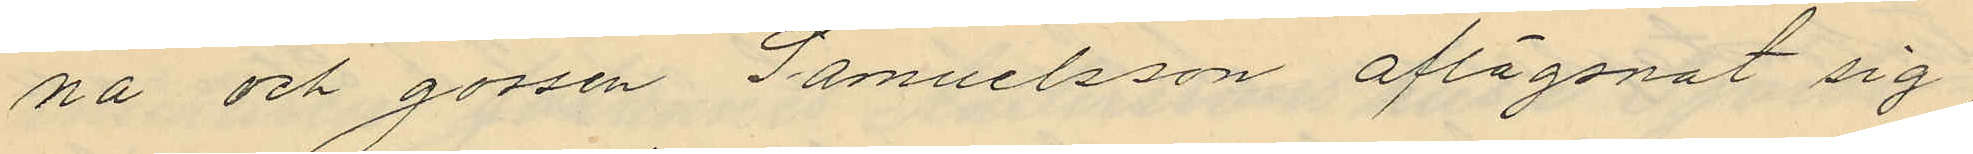na och gossen Samuelsson aflägsnat sig
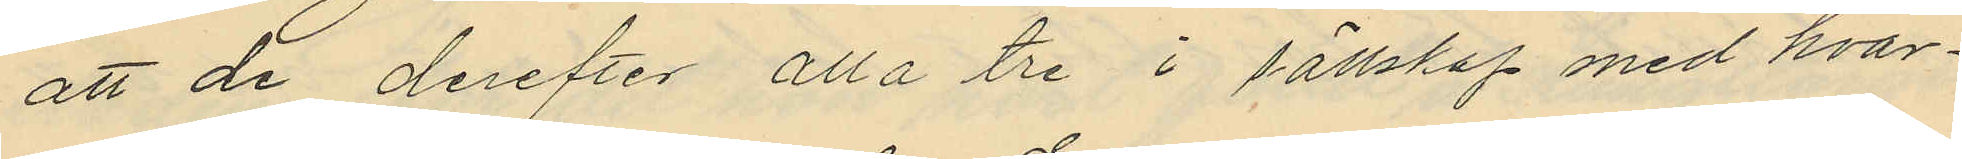att de derefter alla tre i sällskap med hvar¬
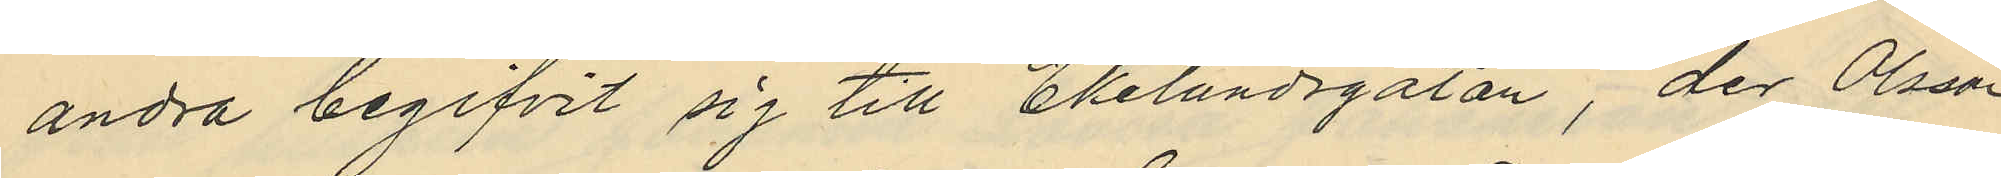andra begifvit sig till Ekelundsgatan, der Olsson
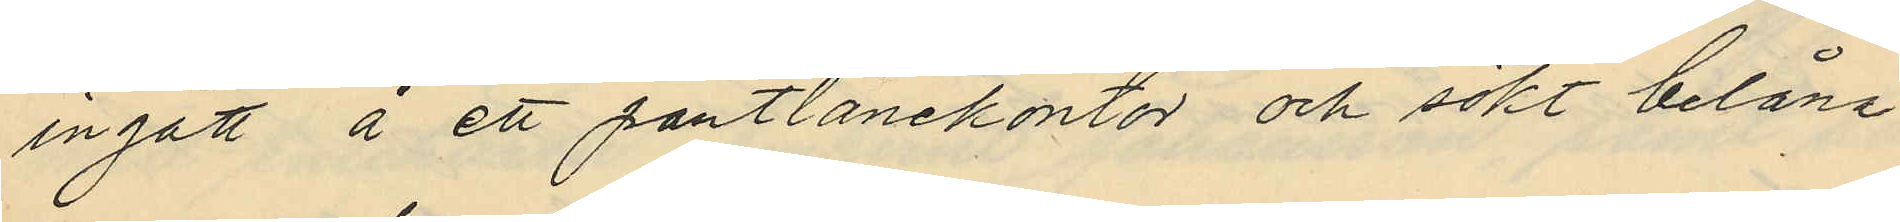ingått å ett pantlånekontor och sökt belåna
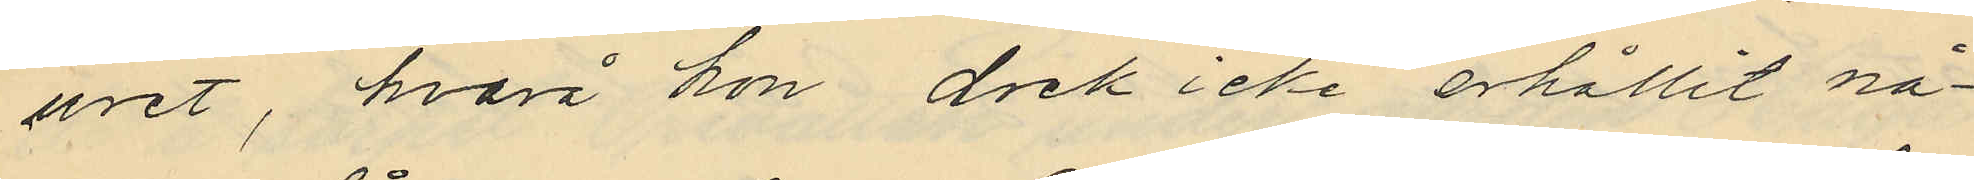uret, hvarå hon dock icke erhållit nå¬
